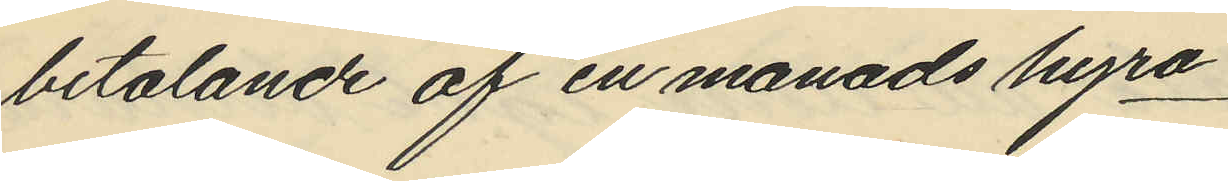betalande af en manads hyra
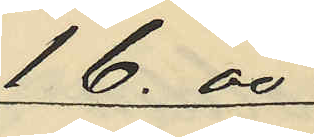16.00
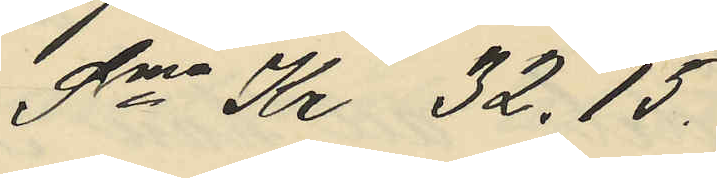Sma Kr. 32.15.
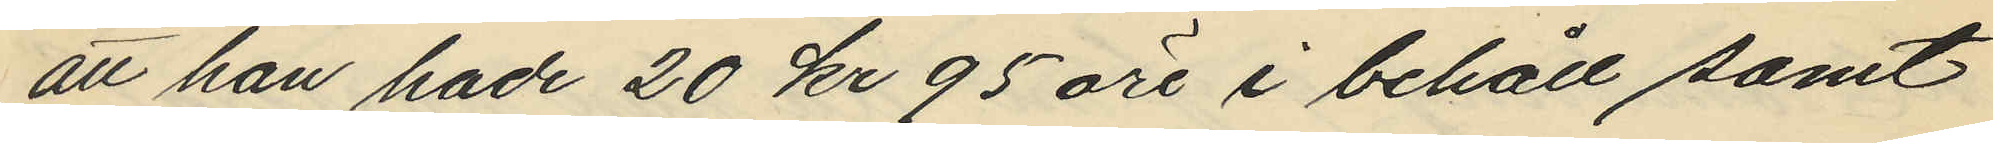att han hade 20 kr 95 öre i behåll samt
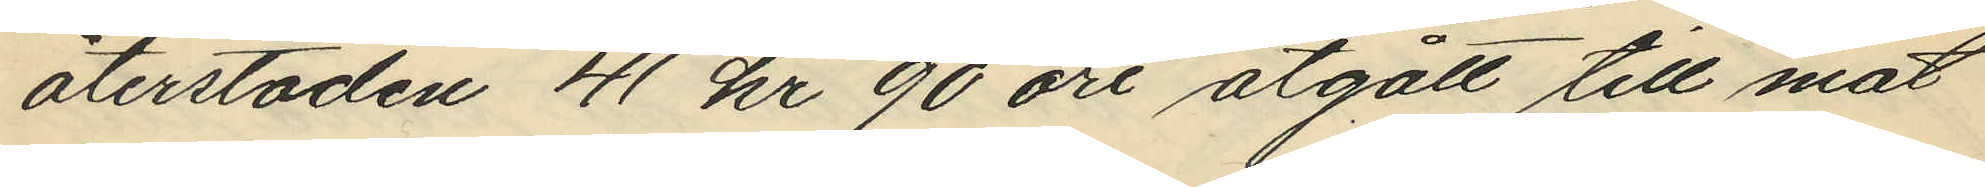återstoden 41 kr 90 öre åtgått till mat
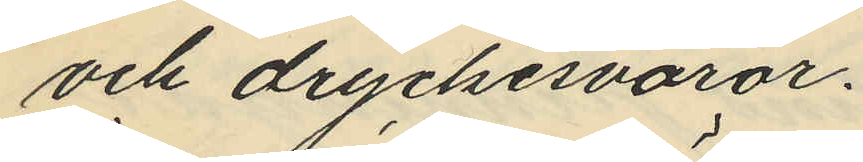och dryckesvaror.
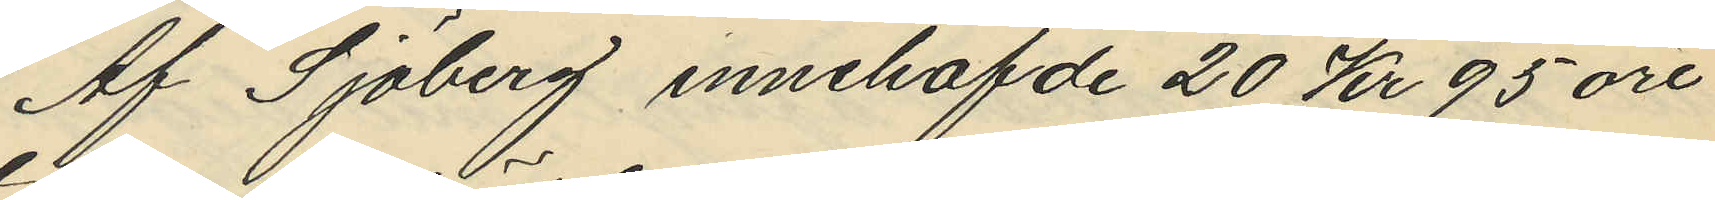Af Sjöberg innehafvde 20 Kr 95 öre
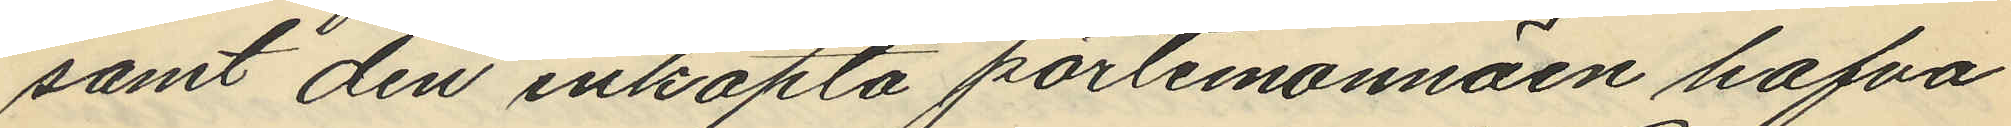samt den inköpta portemonnäen hafva
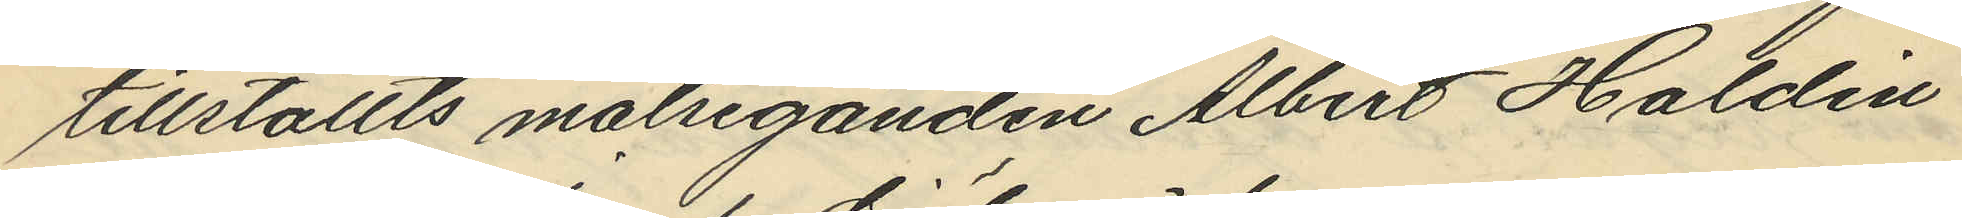tillställts målseganden Albert Haldin
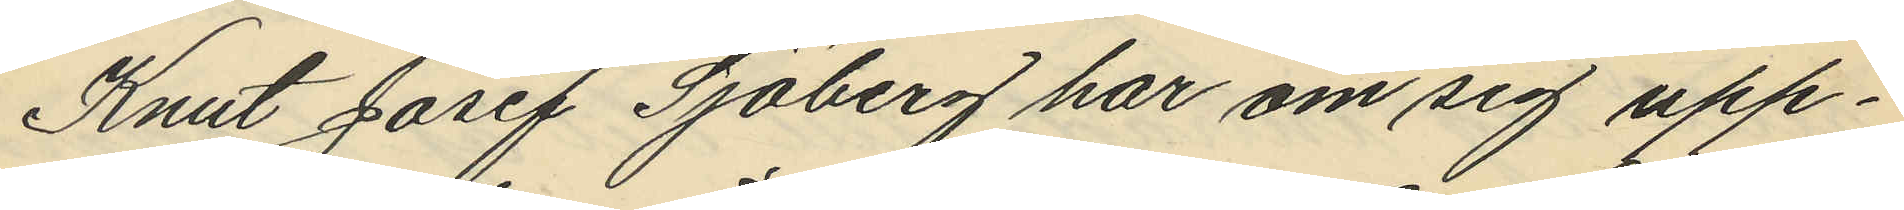Knut Josef Sjöberg har om sig upp¬
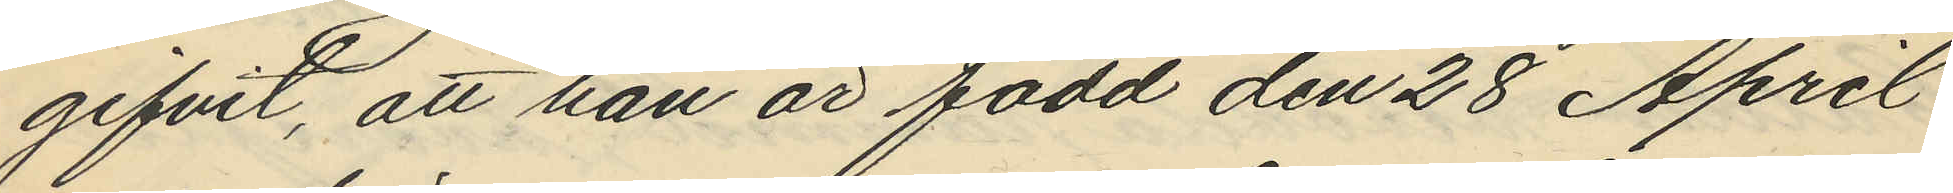gifvit, att han är född den 28 April
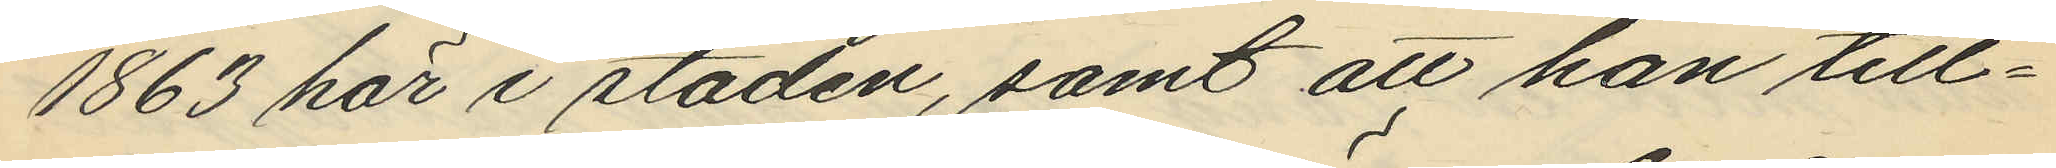1863 här i staden, samt att han till¬
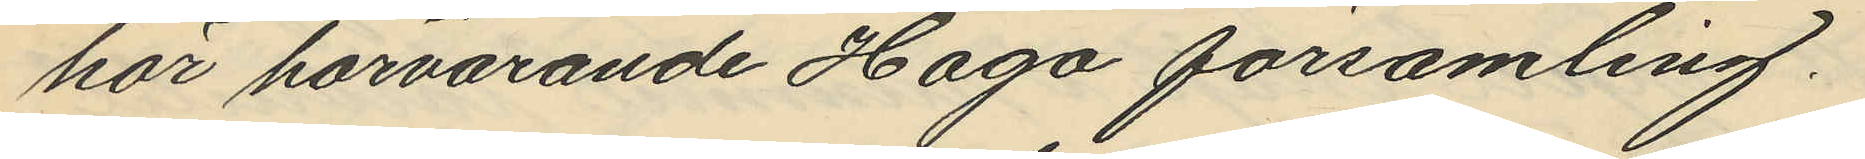hör härvarande Haga församling.
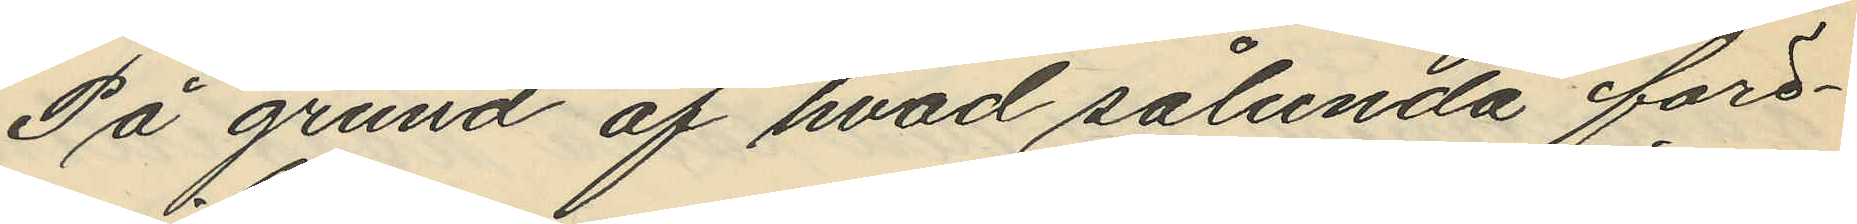På grund af hvad sålunda före¬
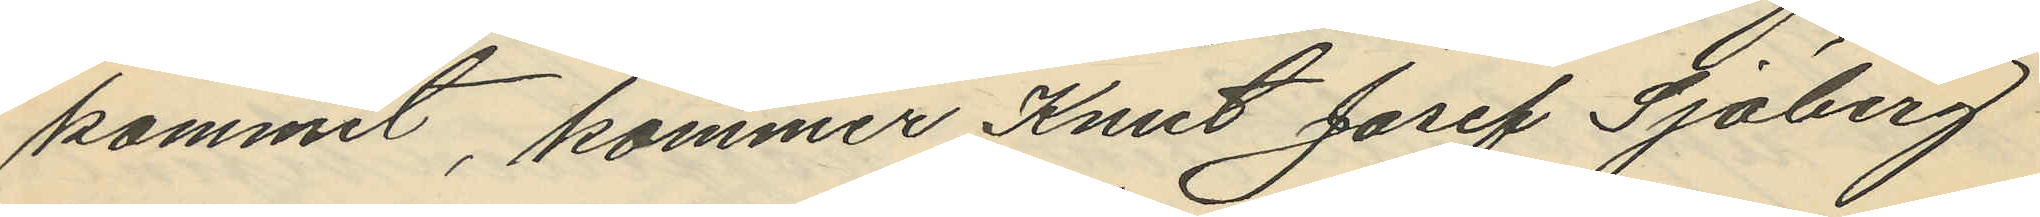kommit, kommer Knut Josef Sjöberg
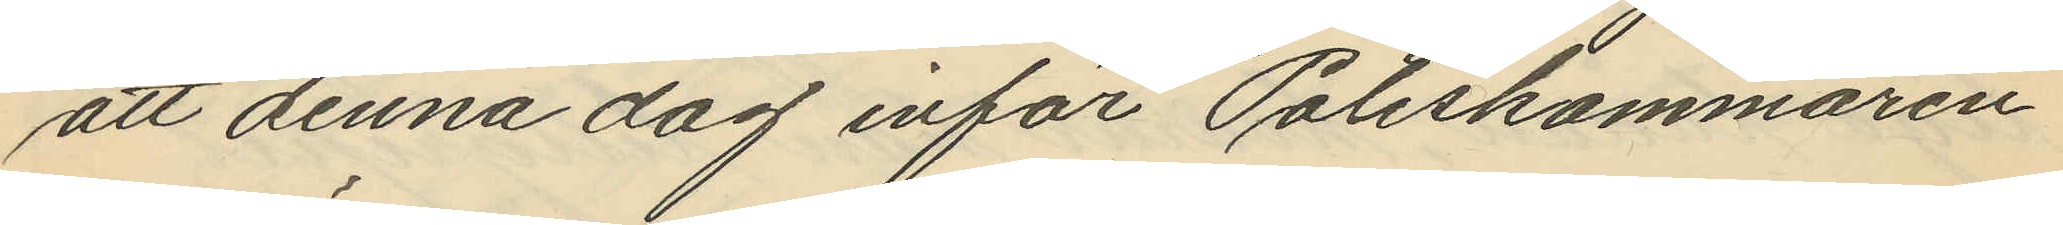att denna dag inför Poliskammaren
